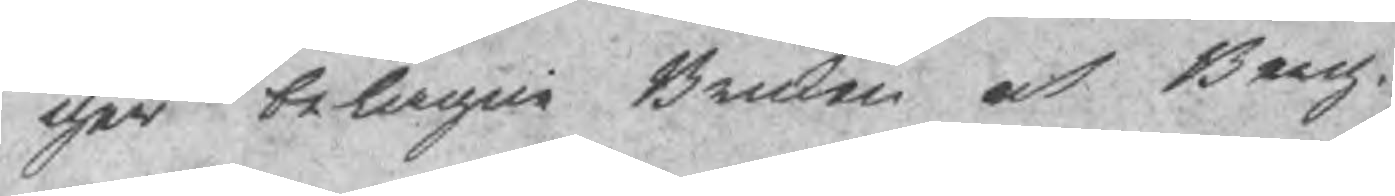ger belagne Bruken och Berg¬
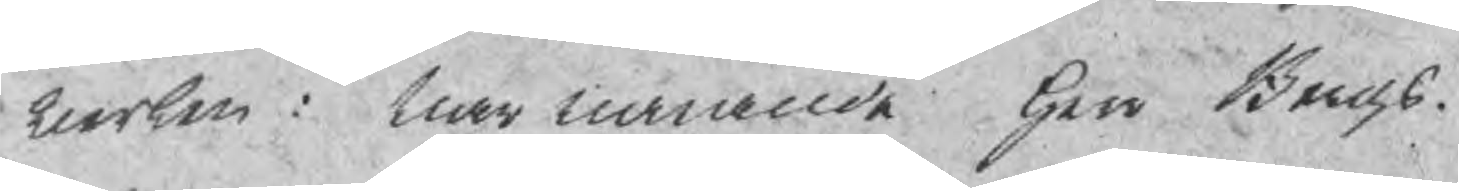werken: Narwarande Herr Bergs¬
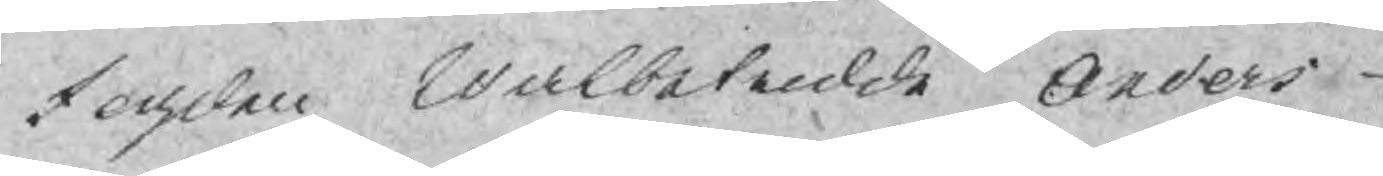fogden Walbetrodde Anders
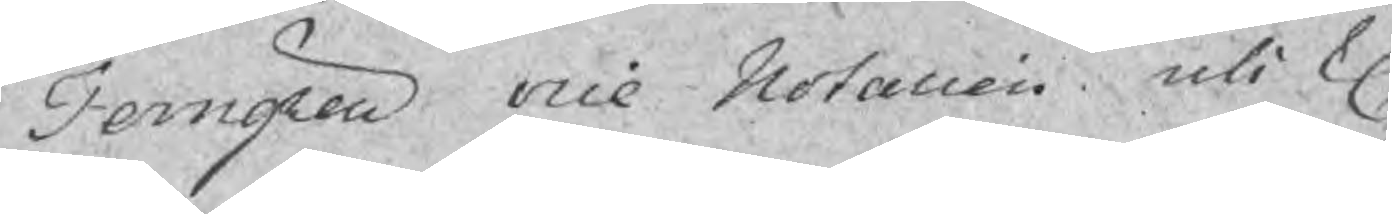Ferngren vice Notarien uti K.
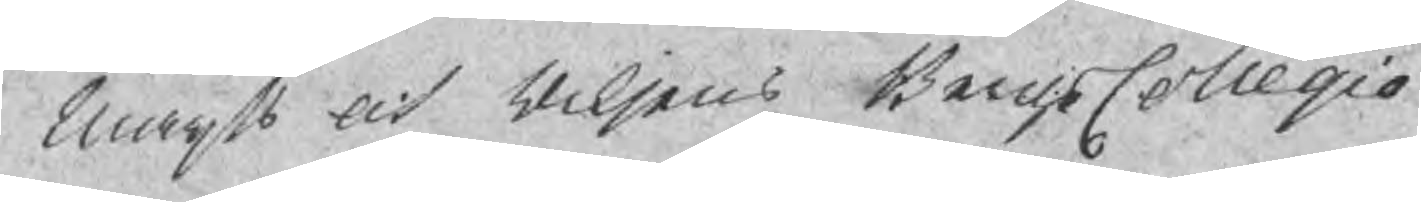Maijts och Riksens BergsCollegio
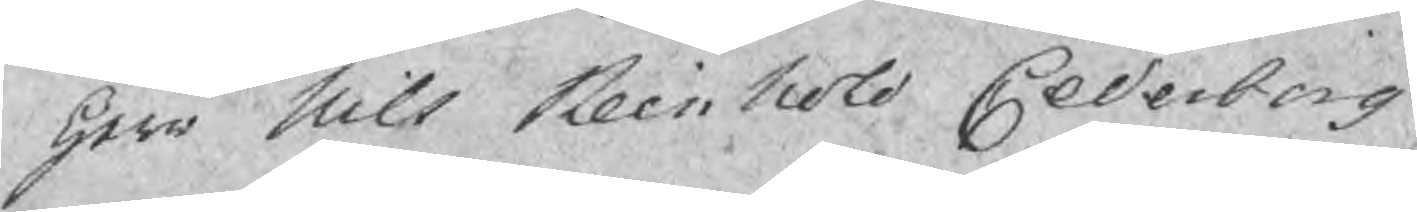Herr Nils Reinhold Cederberg
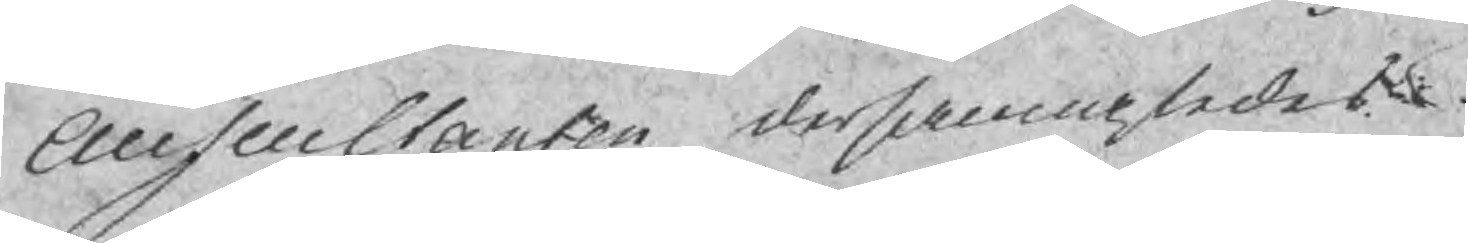Auscultanten dersammastedes
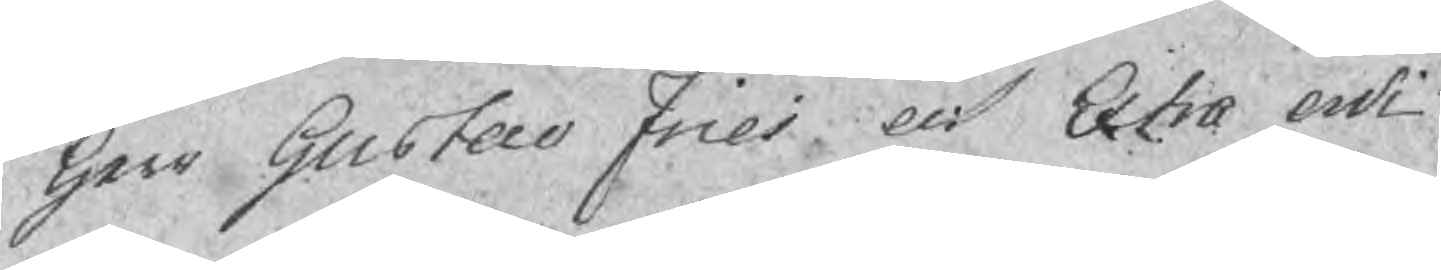Herr Gustav Fries och Extra ordi¬
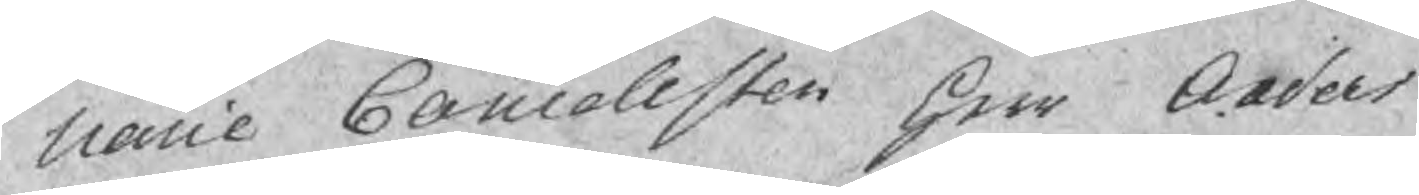narie Cancelesten Herr Anders
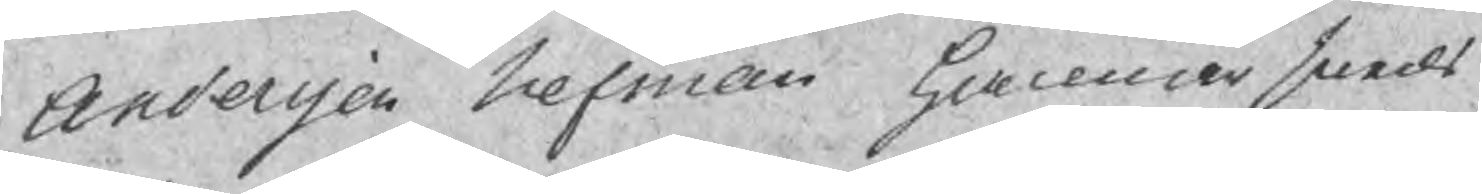Andersson Nefman Hammarsmeds
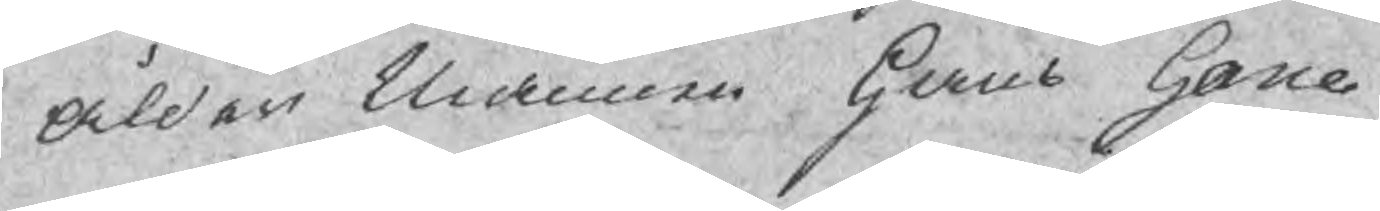Ålder Mannen Hans Hane
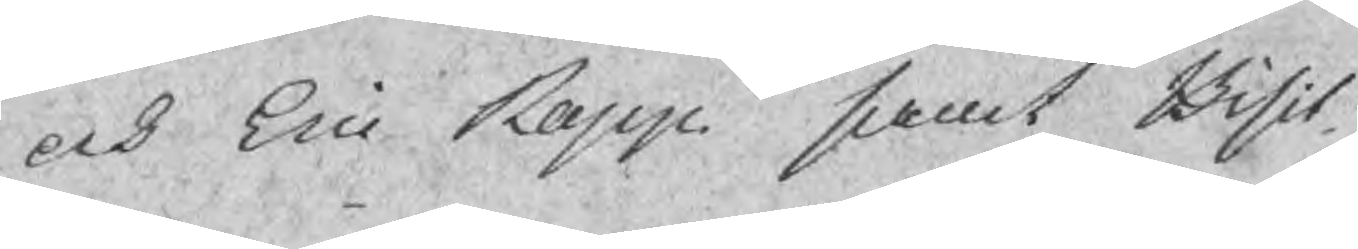och Eric Rapp smat Bisit¬
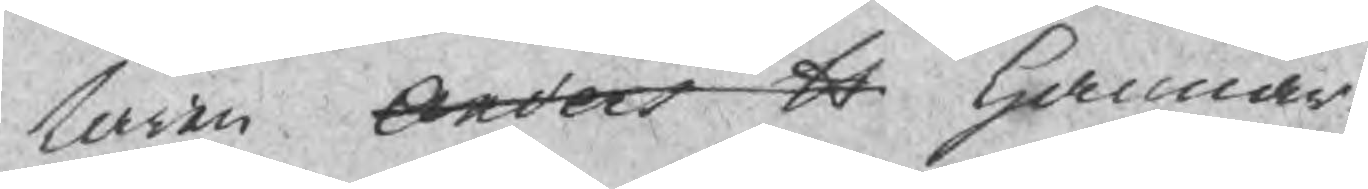taren Anders H Hammar¬
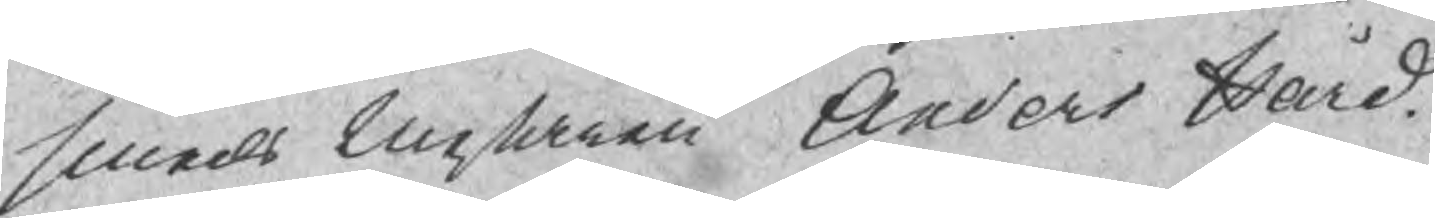smeds Mestaren Anders Hård.
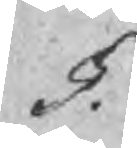§.
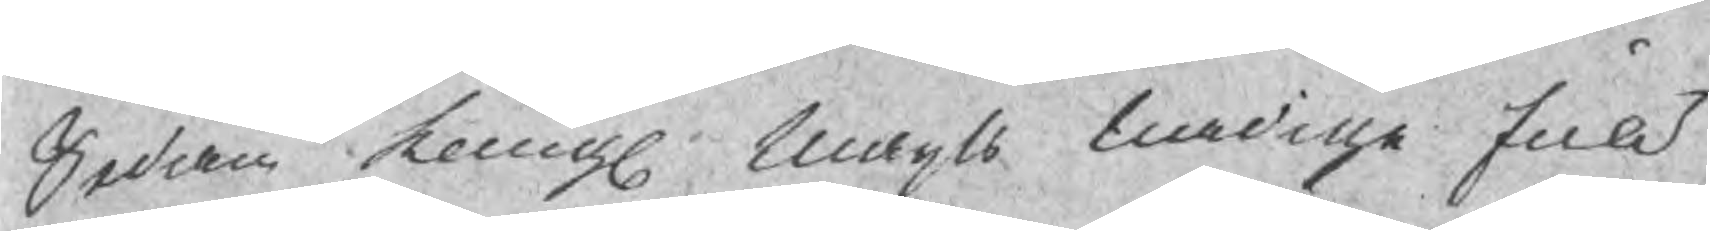Sedan Kongl Maijts nadiga full¬
